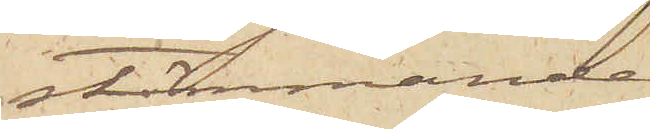stämmande.
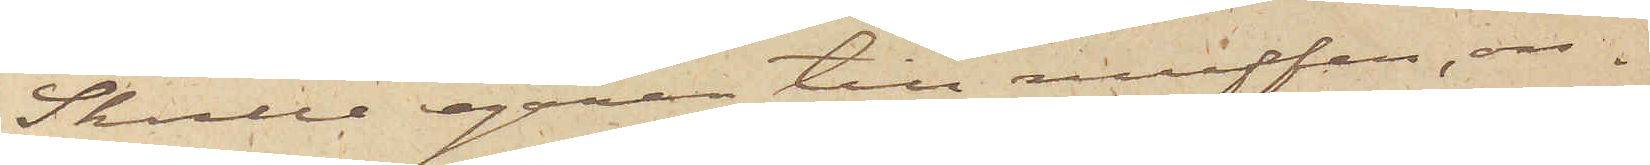Skulle egaren till muffen, ön¬
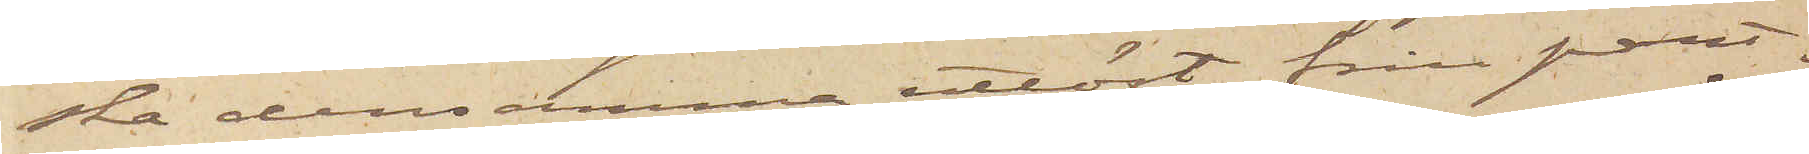ska densamma utlöst från pant¬
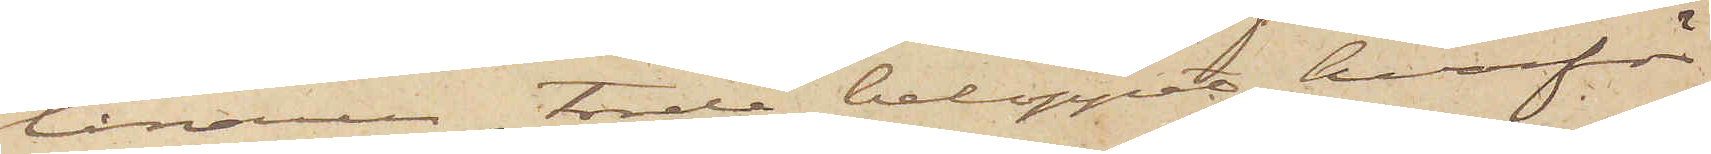lånaren, torde beloppet, hvarför
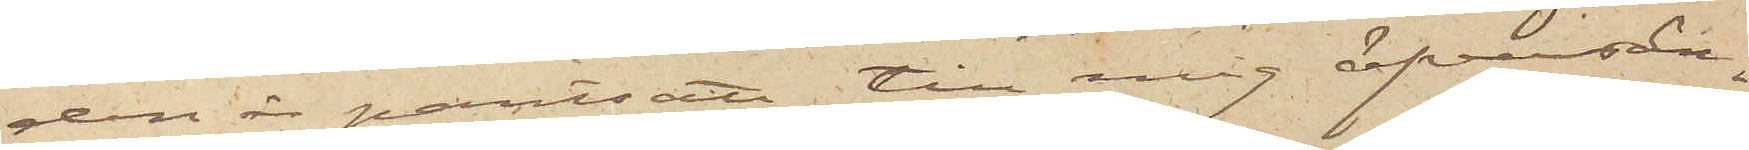den är pantsatt, till mig öfversän¬
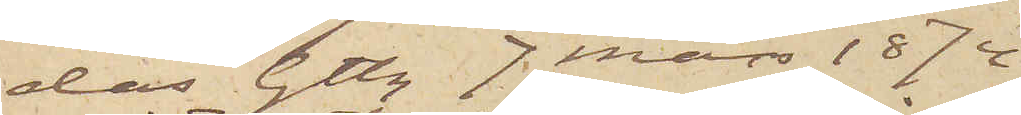das. Gtbg 7 Mars 1874.
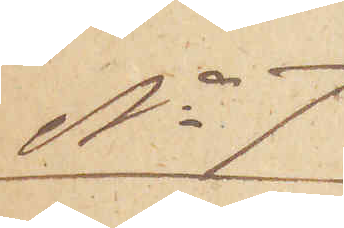No 7
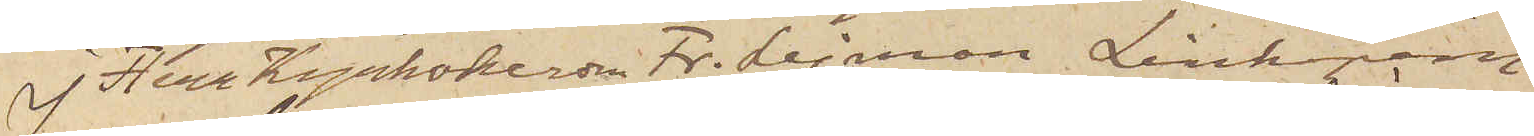Herr Kyrkoherden Fr. Lejman, Linköping
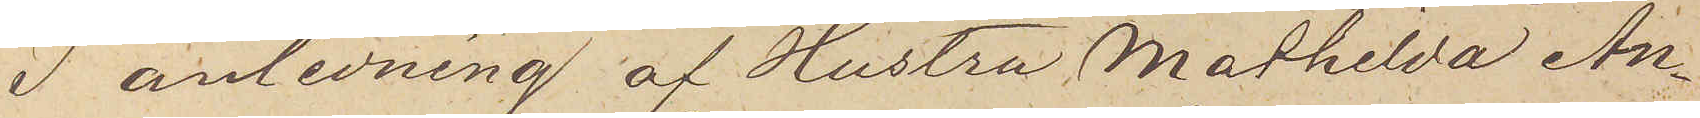I anledning af Hustru Mathilda An¬
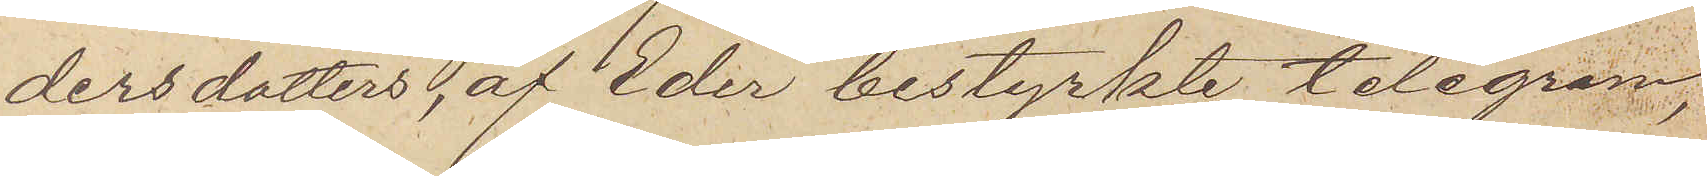dersdotters, af Eder bestyrkte telegram,
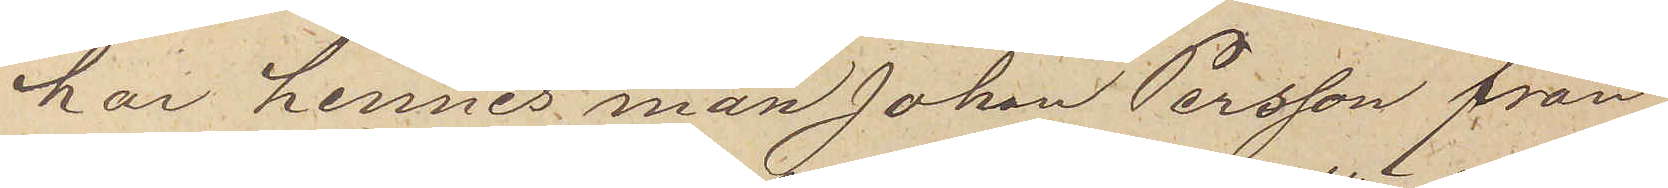har hennes man Johan Persson från
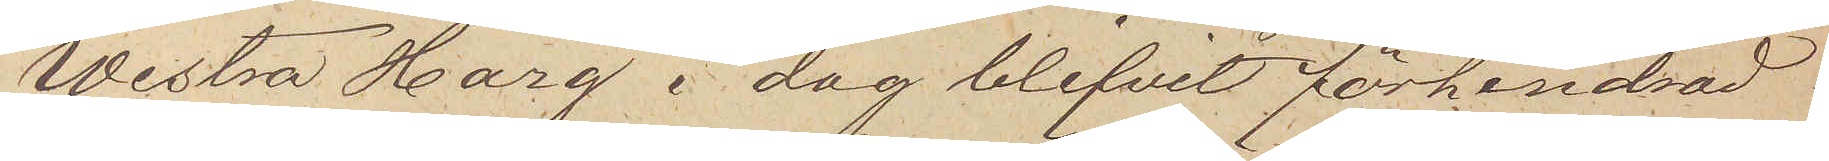Westra Harg i dag blifvit förhindrad
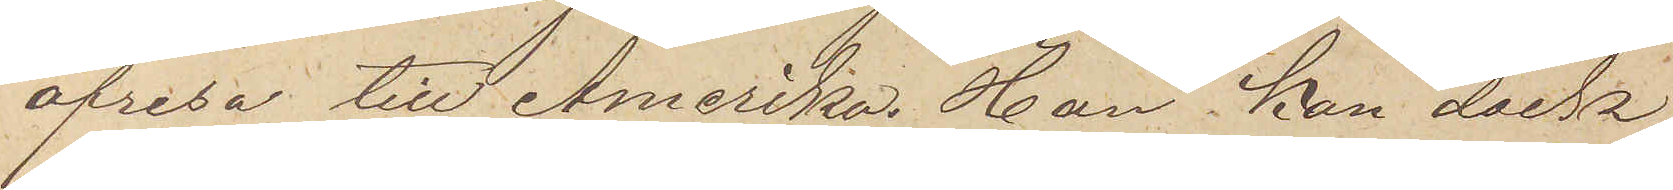afresa till Amerika. Han kan dock
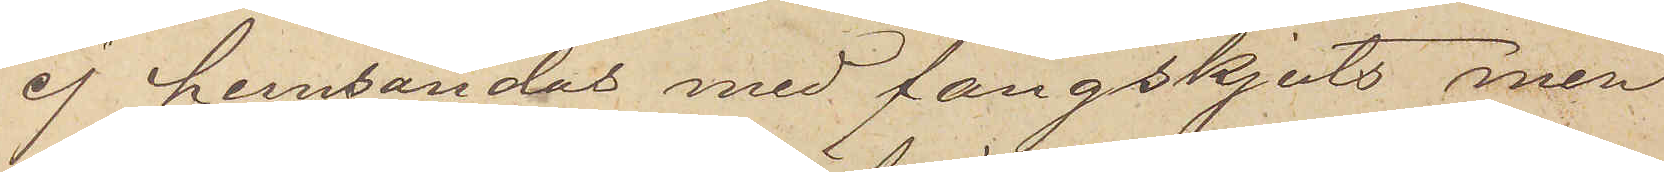ej hemsändas med fångskjuts, men
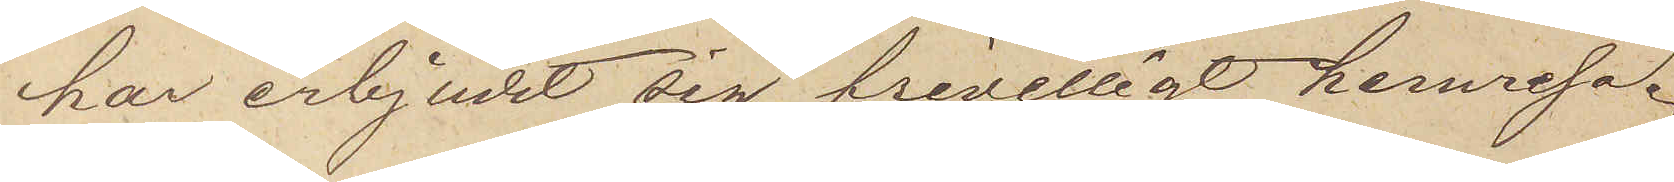har erbjudit sig frivilligt hemresa.
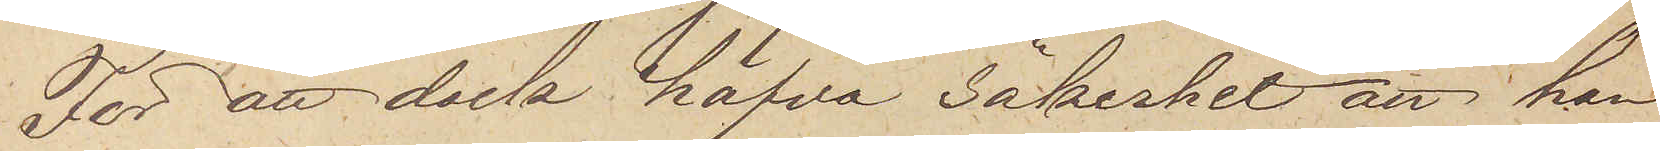För att dock hafva säkerhet att han
